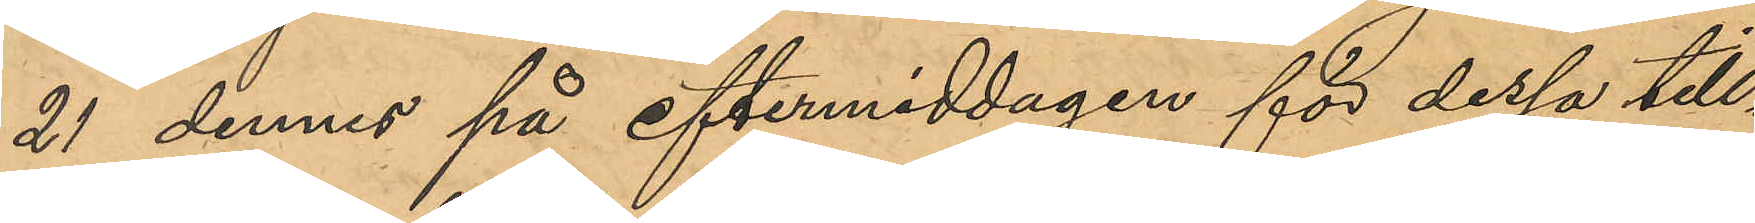21 dennes på eftermiddagen för dessa till¬
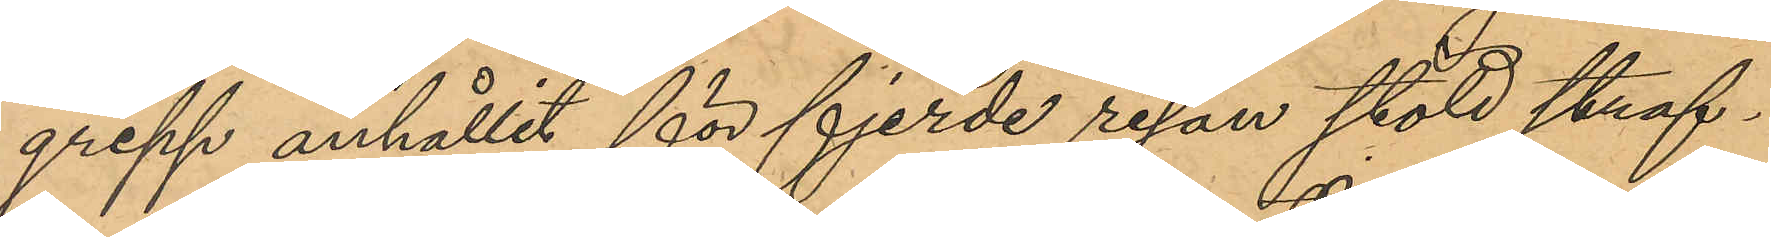grepp anhållit för fjerde resan stöld straf¬
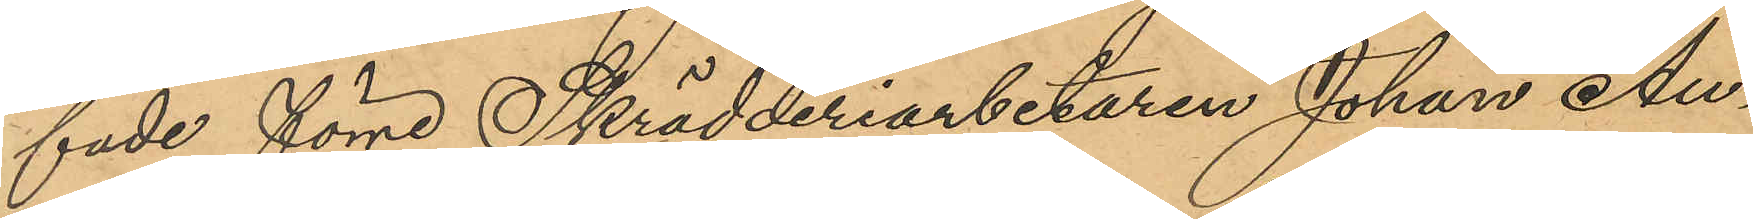fade förre Skrädderiarbetaren Johan Au¬
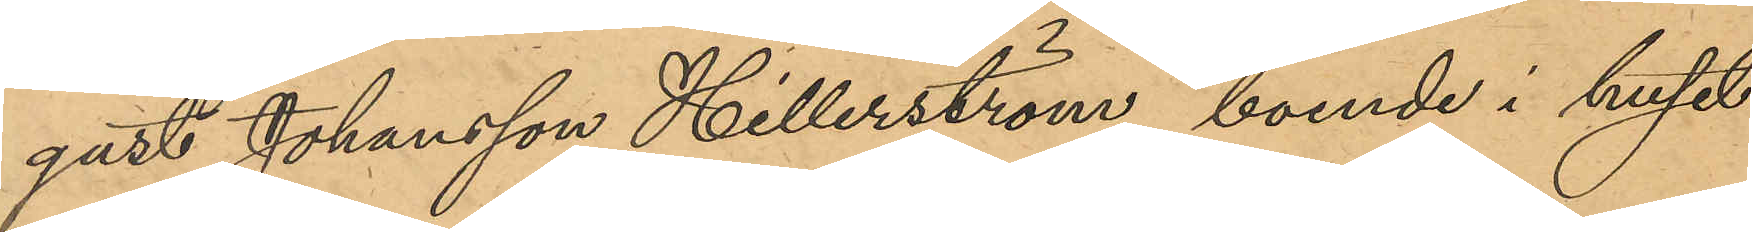gust Johansson Hillerström, boende i huset
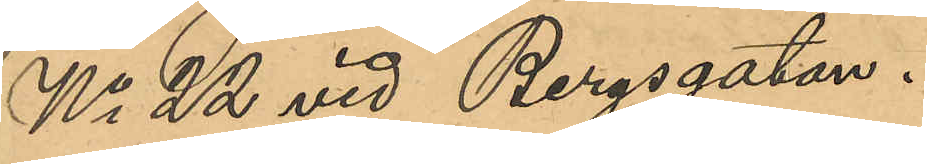No 22 vid Bergsgatan.
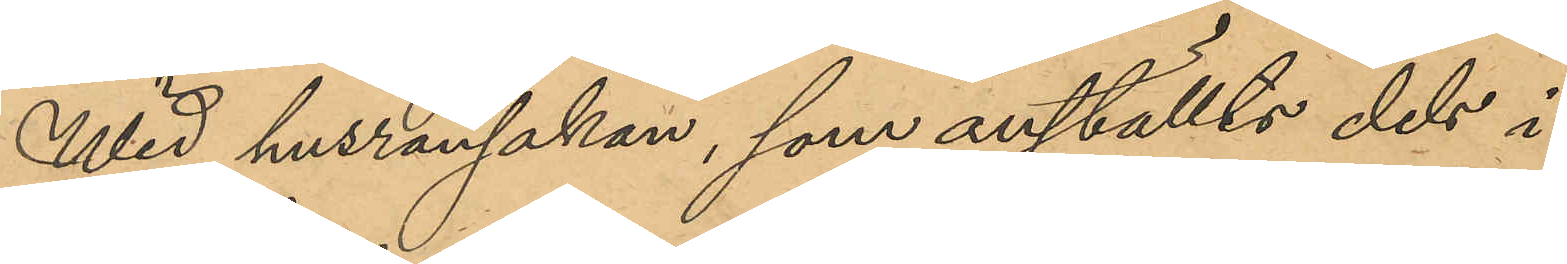Wid husrannsakan, som anställts dels i
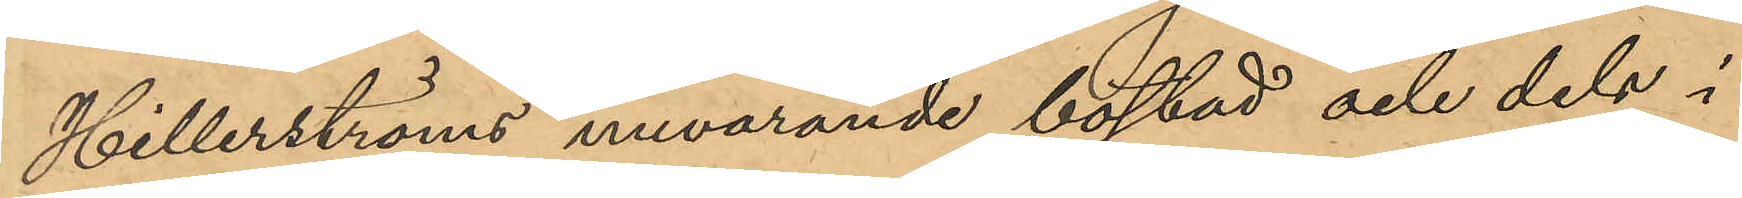Hillerströms nuvarande bostad och dels i
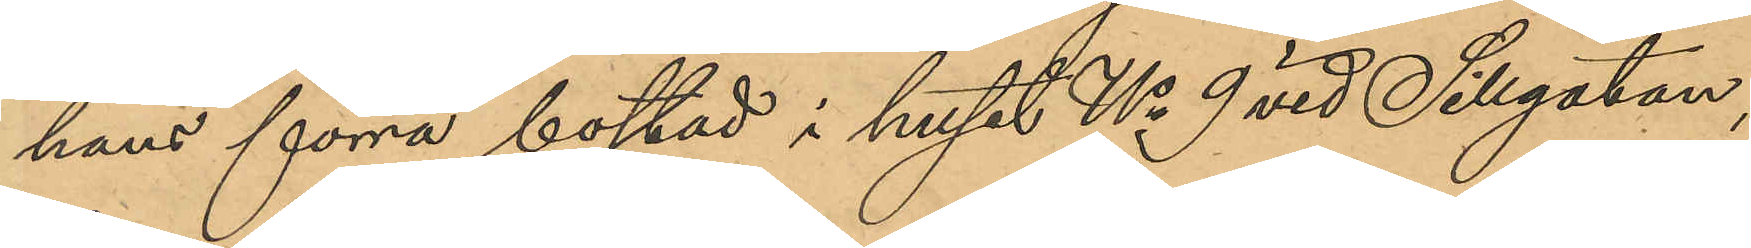hans förra bostad i huset No 9 vid Sillgatan,
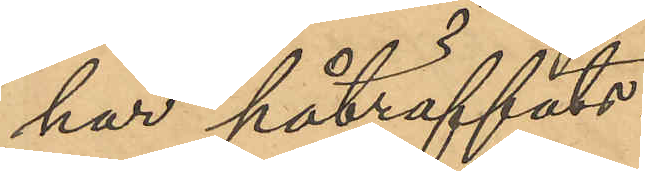har påträffats:
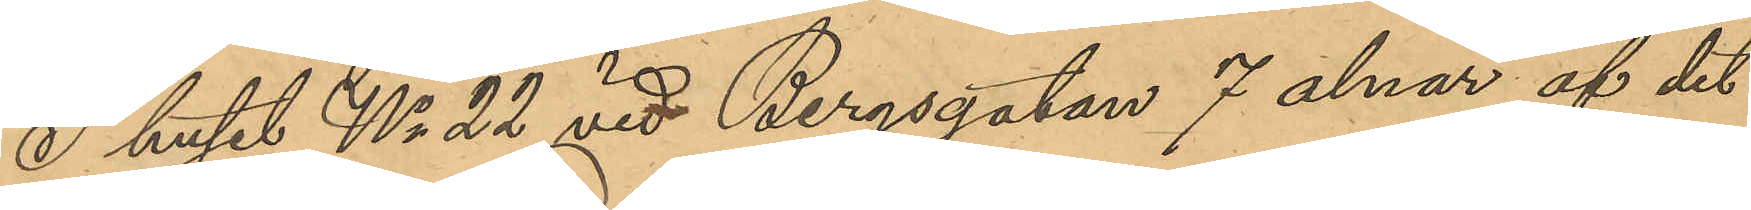I huset No 22 vid Bergsgatan 7 alnar af det
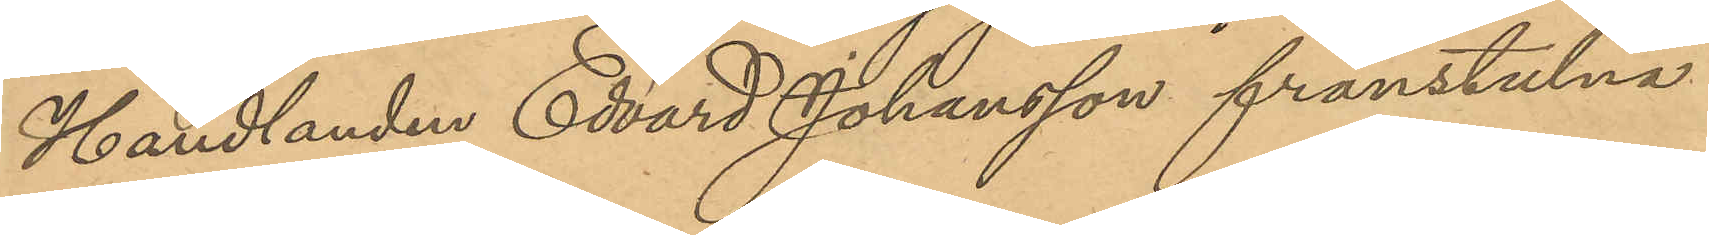Handlanden Edvard Johanson frånstulna
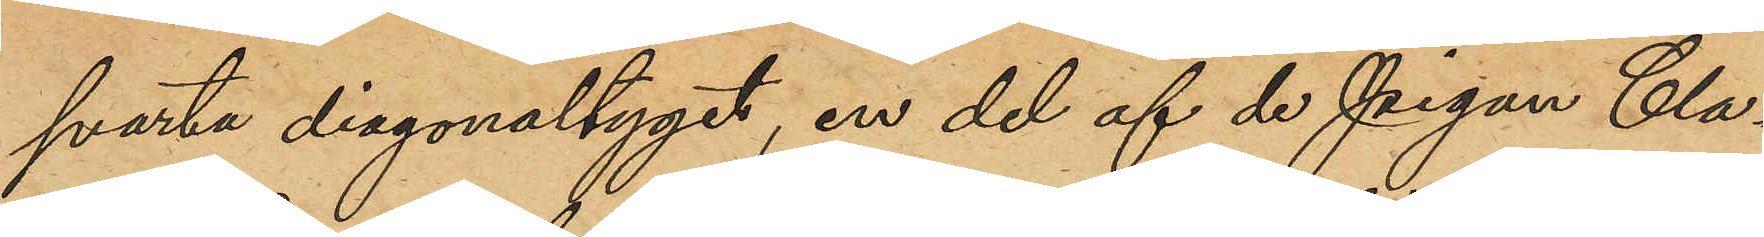svarta diagonaltyget, en del af de pigan Cla¬
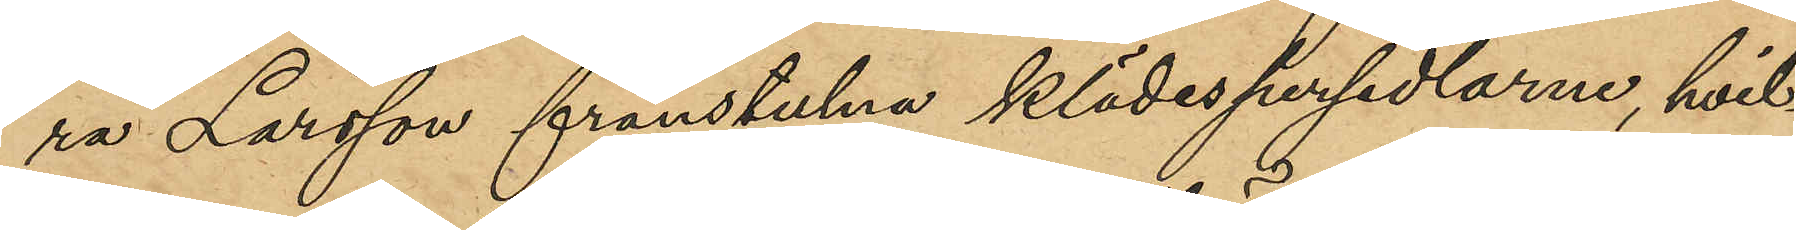ra Larsson frånstulna klädespersedlarne, hvil¬
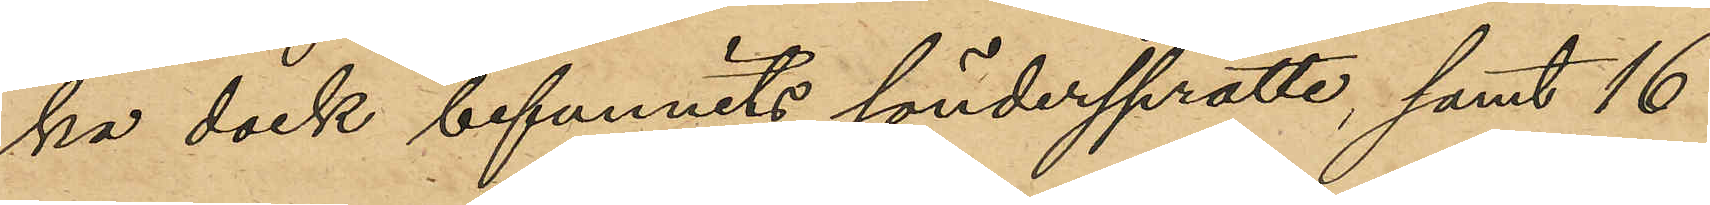ka dock befunnits söndersprätte, samt 16
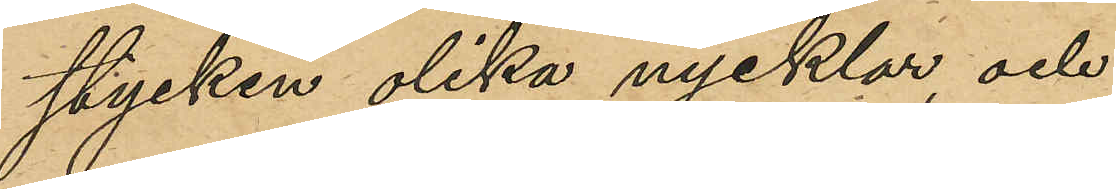stycken olika nycklar, och
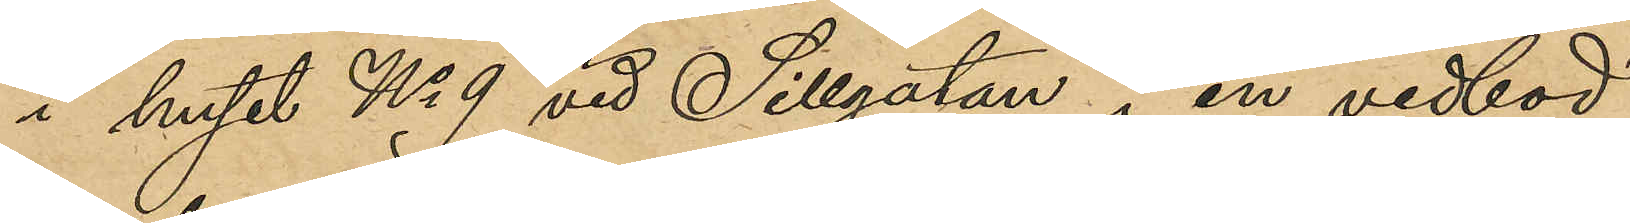i huset No 9 vid Sillgatan i en vedbod
